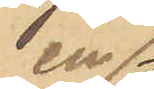en 
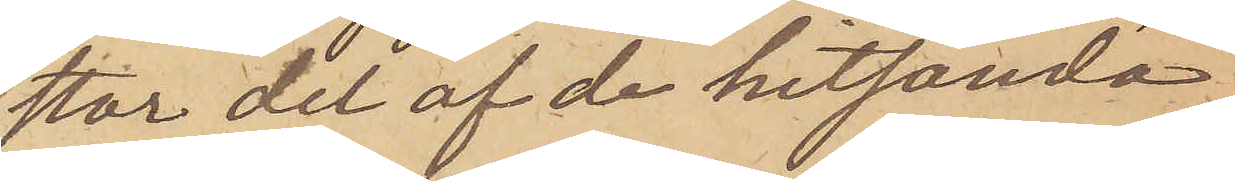stor del af de hitsända
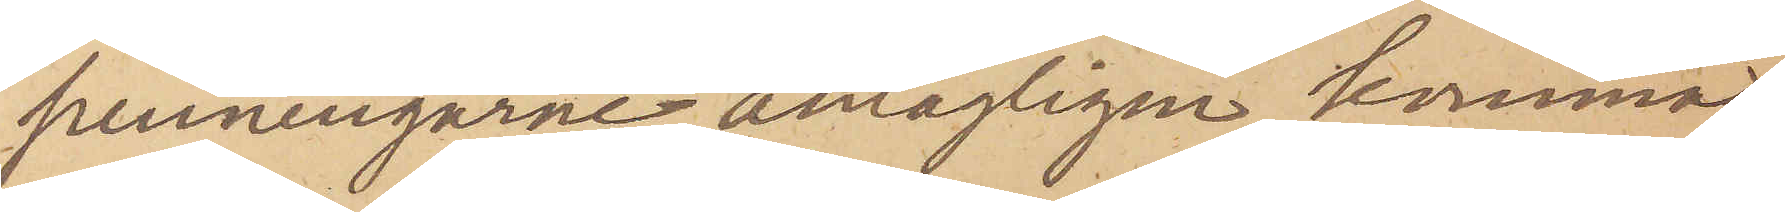penningarne antagligen komma
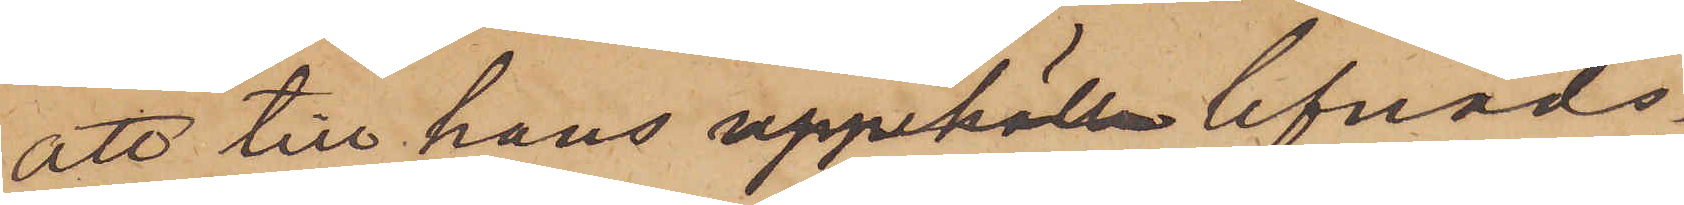att till hans lefnads¬
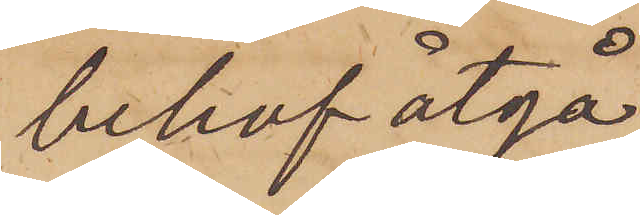behof åtgå.
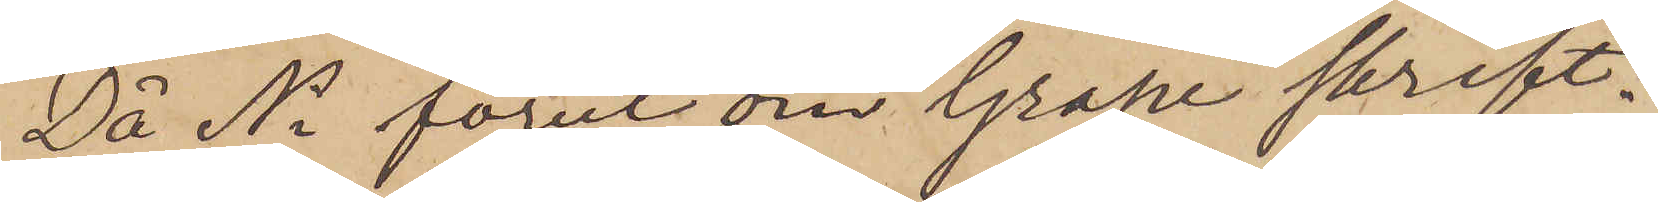Då Ni förut om Grape skrift¬
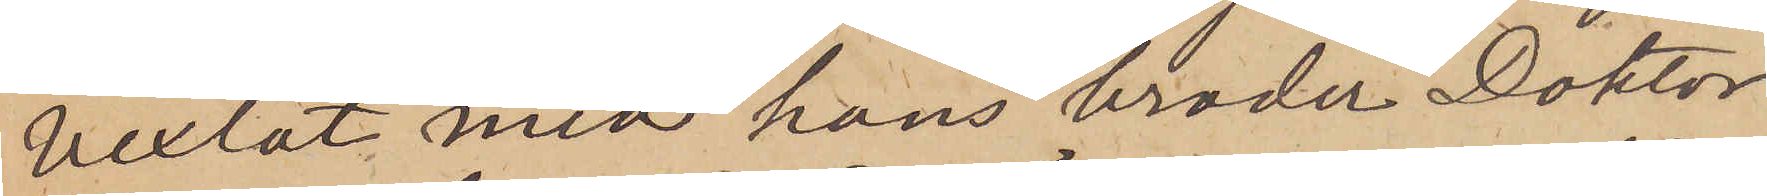vexlat med hans broder Doktor
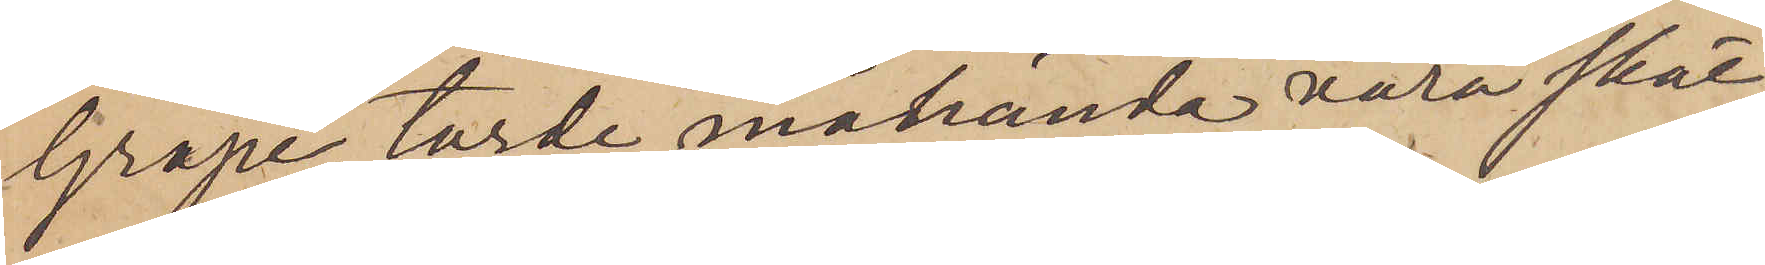Grape, torde måhända vara skäl
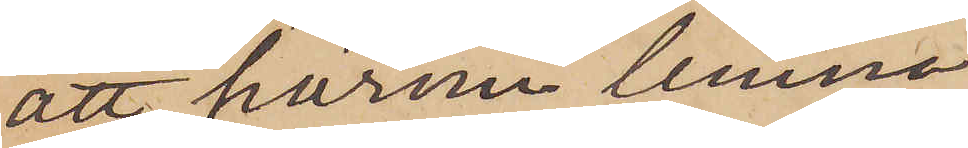att härom lemna
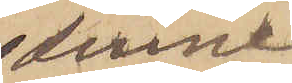denna
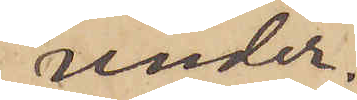under¬
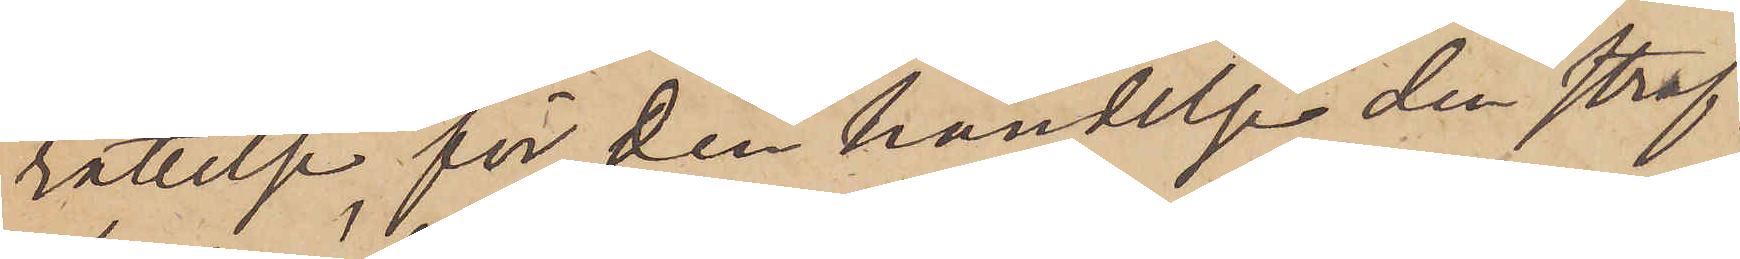rättelse, för den händelse den straf¬
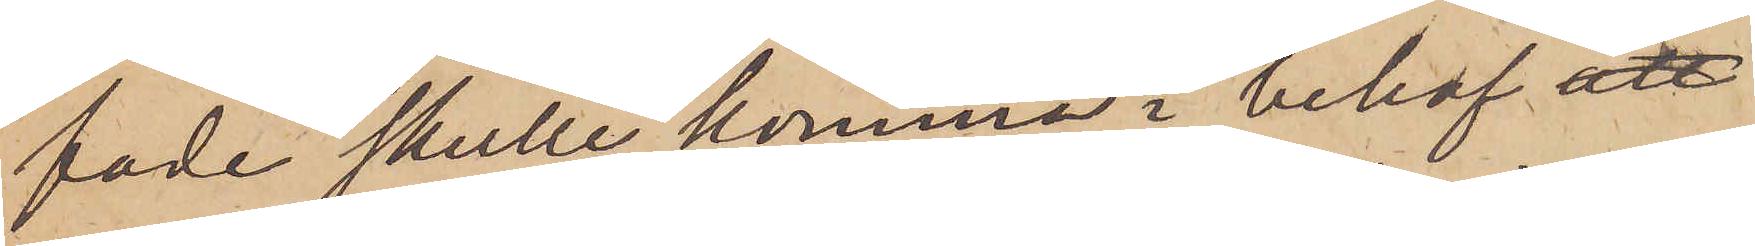fade skulle komma i behof
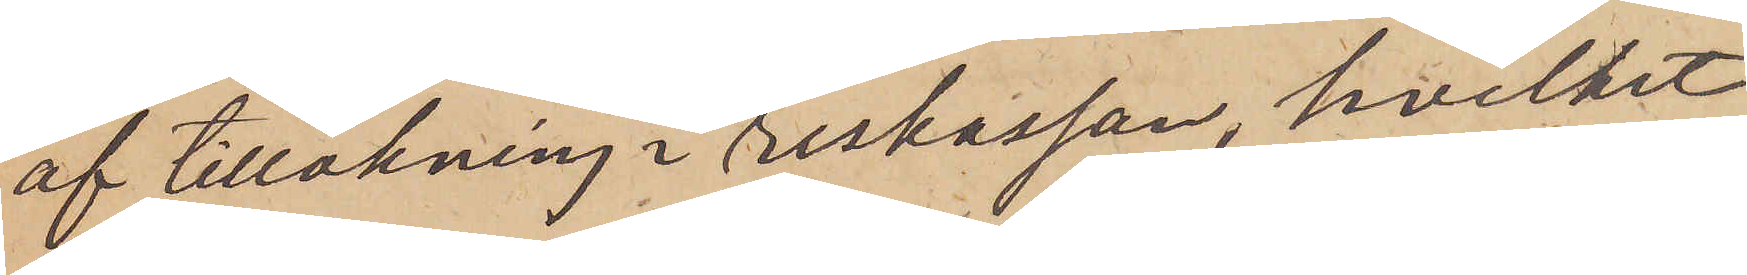af tillökning i reskassan, hvilket
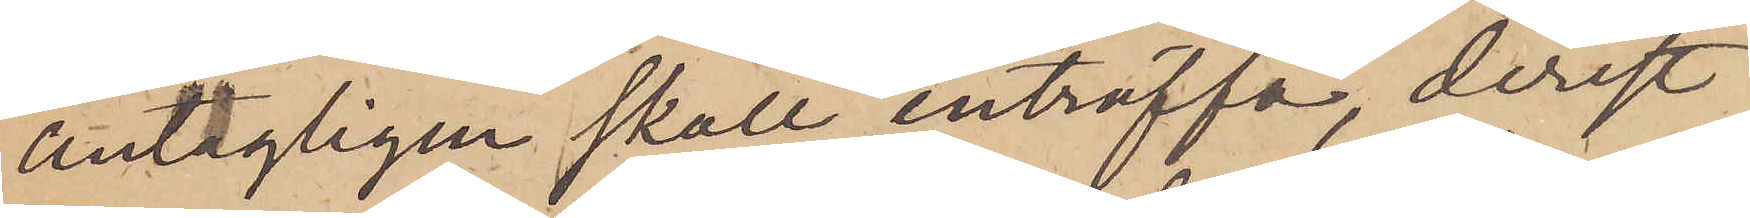antagligen skall inträffa, derest
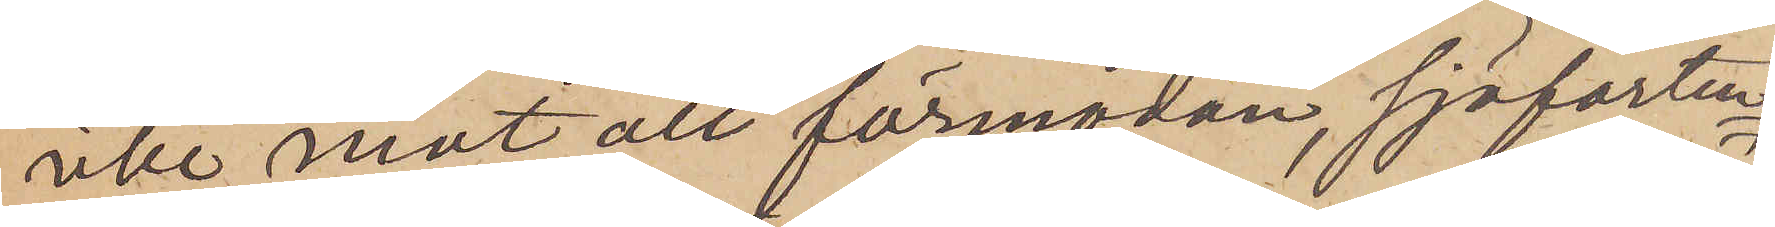icke, mot all förmodan, sjöfarten
